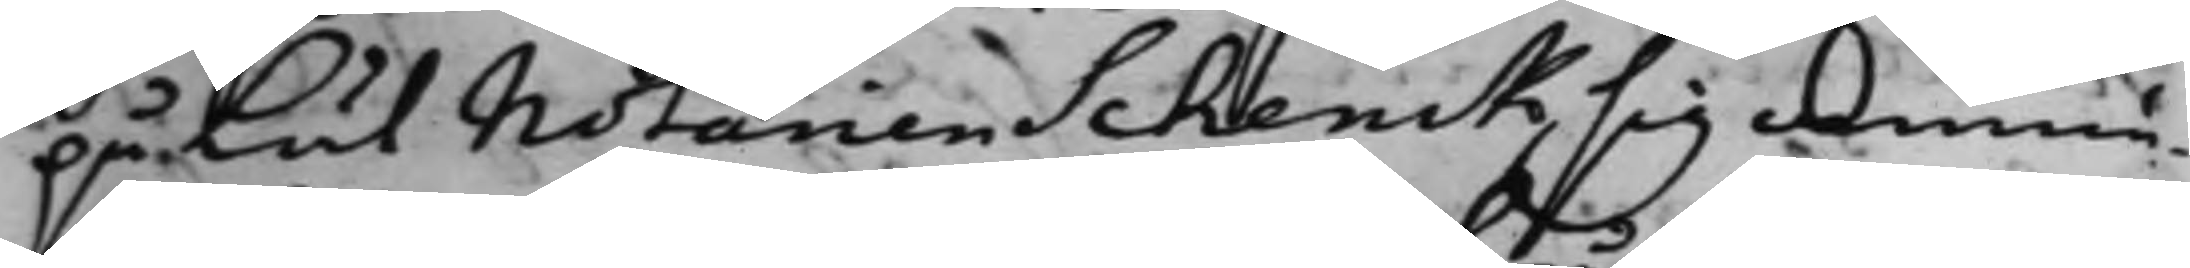på lät Notarien Schenck sig anmä¬
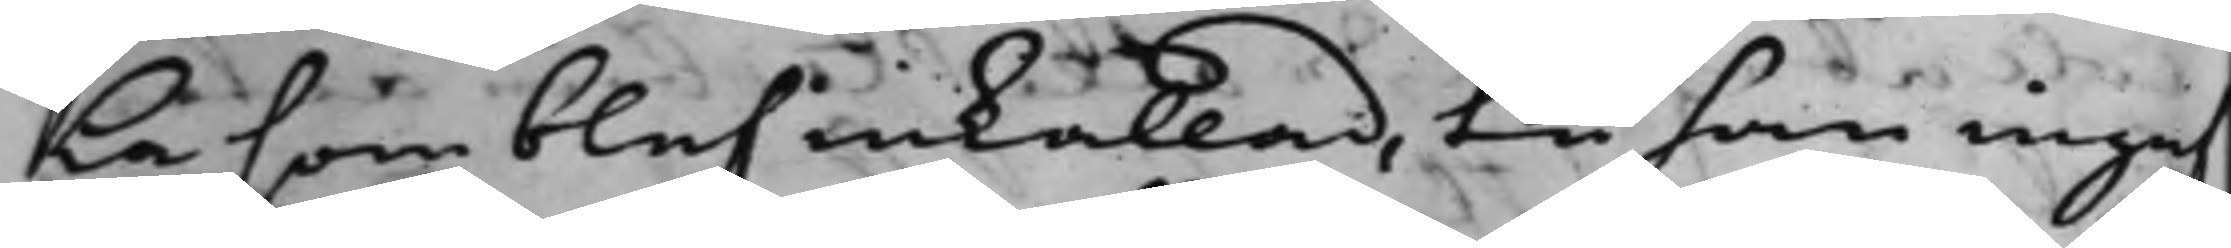la som blef inkallad, tå han ingaf
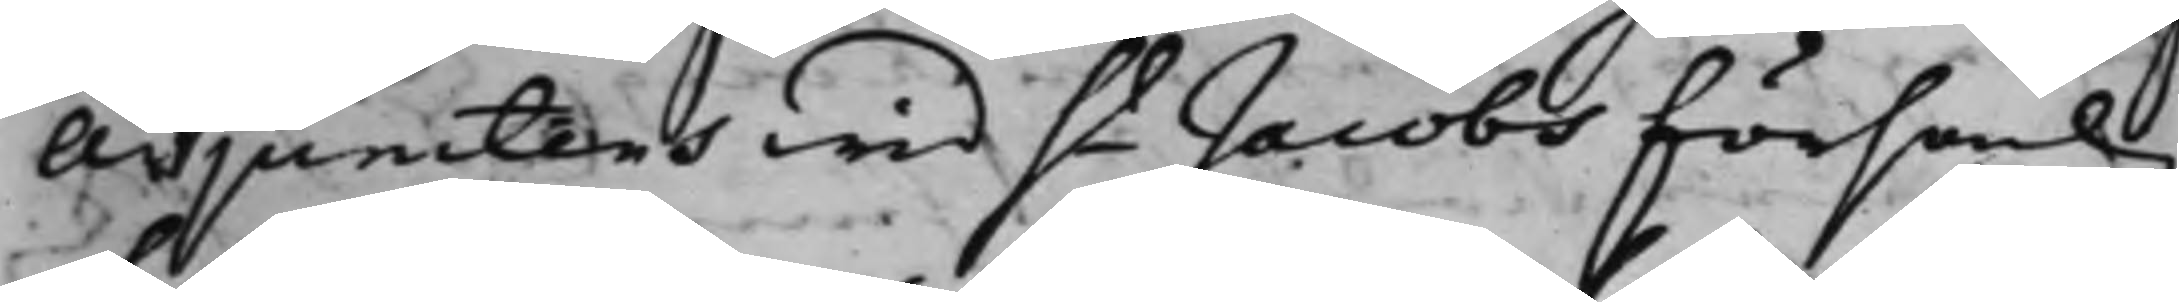Adjunctens wid St Jacobs församling
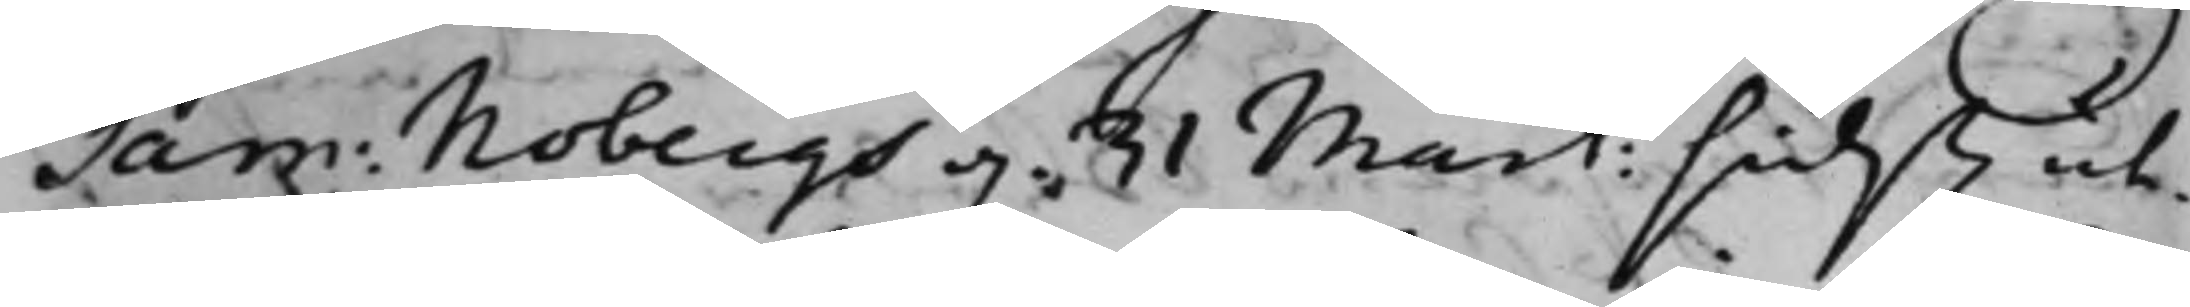Sam: Nobergs d. 31 Mart: sidst. ut¬
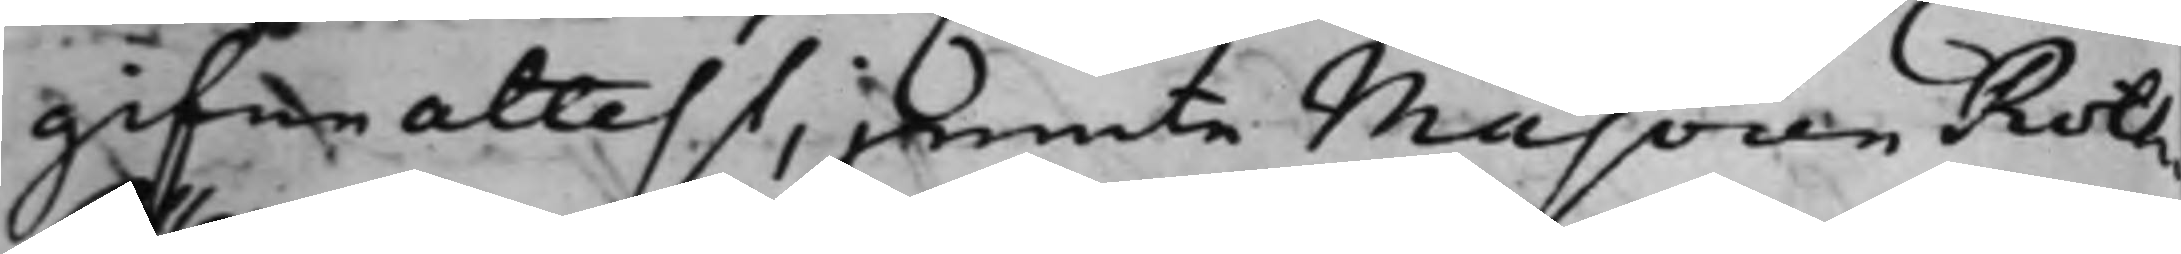gifne attest, jemte Majoren Roth¬
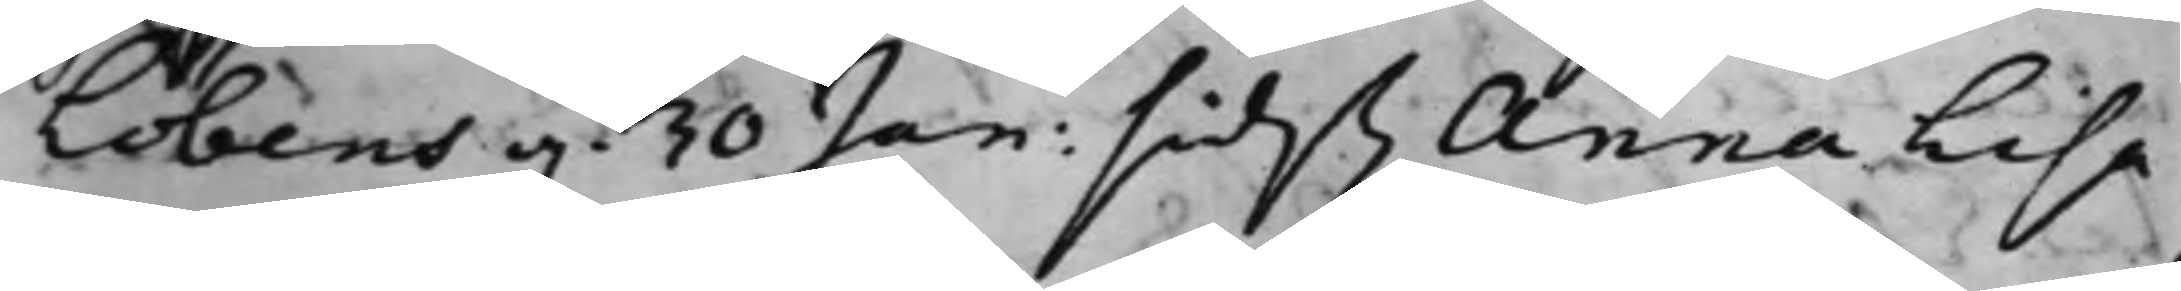Löbens d. 30 Jan: sidst. Anna Lisa
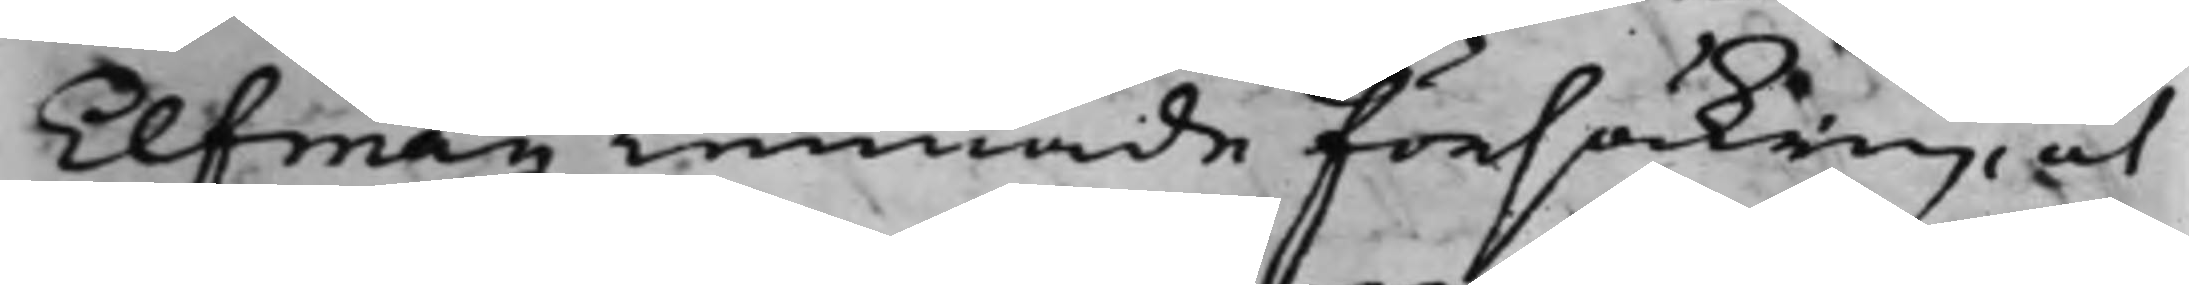Elfman Lemnade försäkring, at
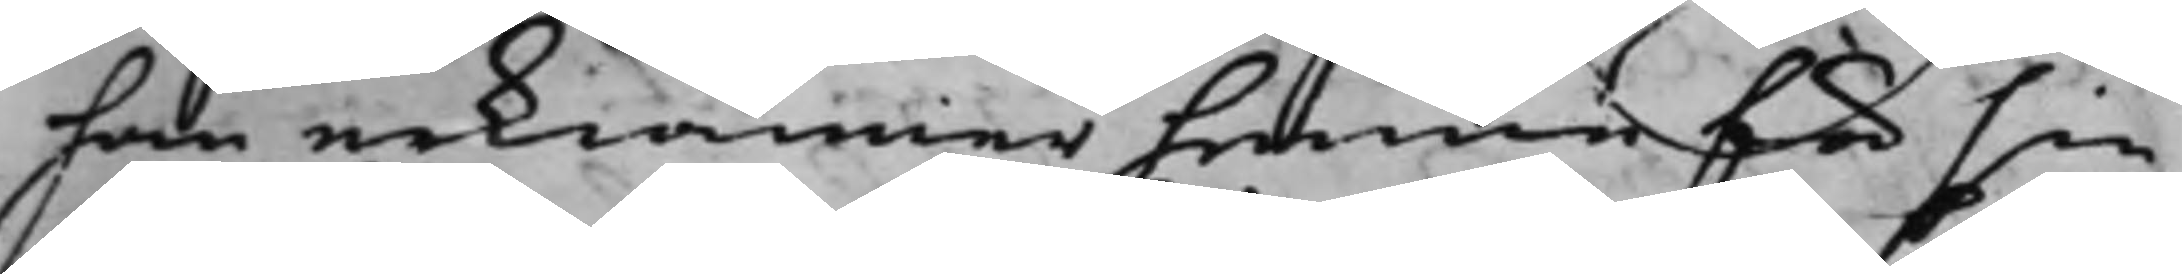han erkiänner henne för sin
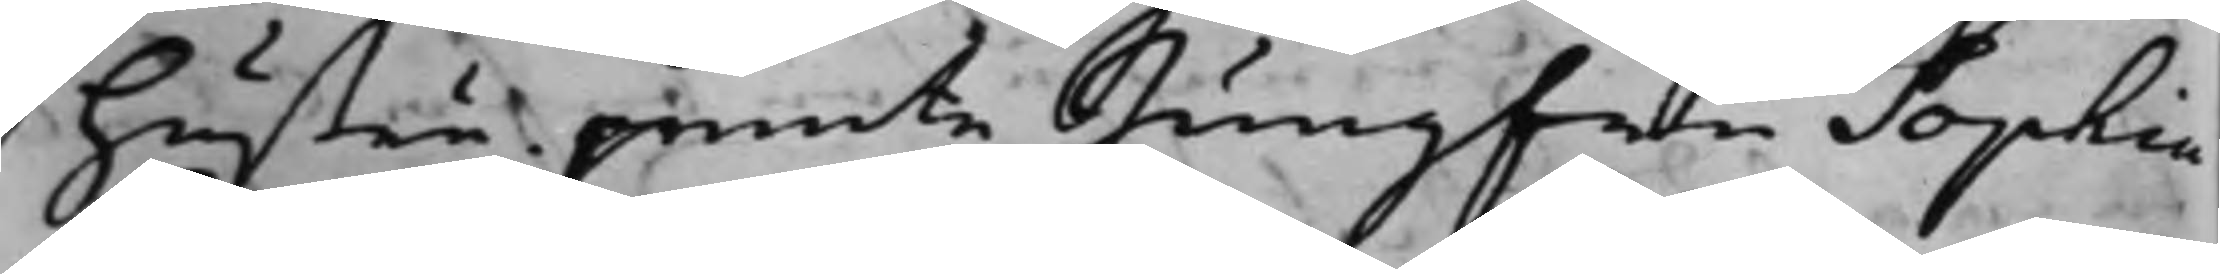hustru jemte Jungfru Sophia
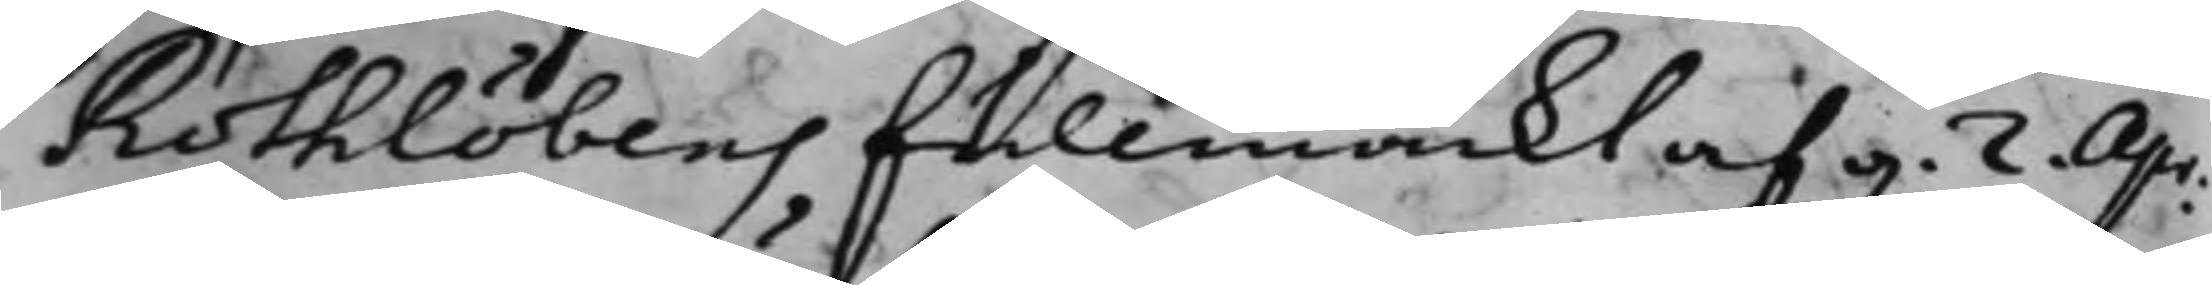Rothlöbens fullmackt af d. 2 Apr.
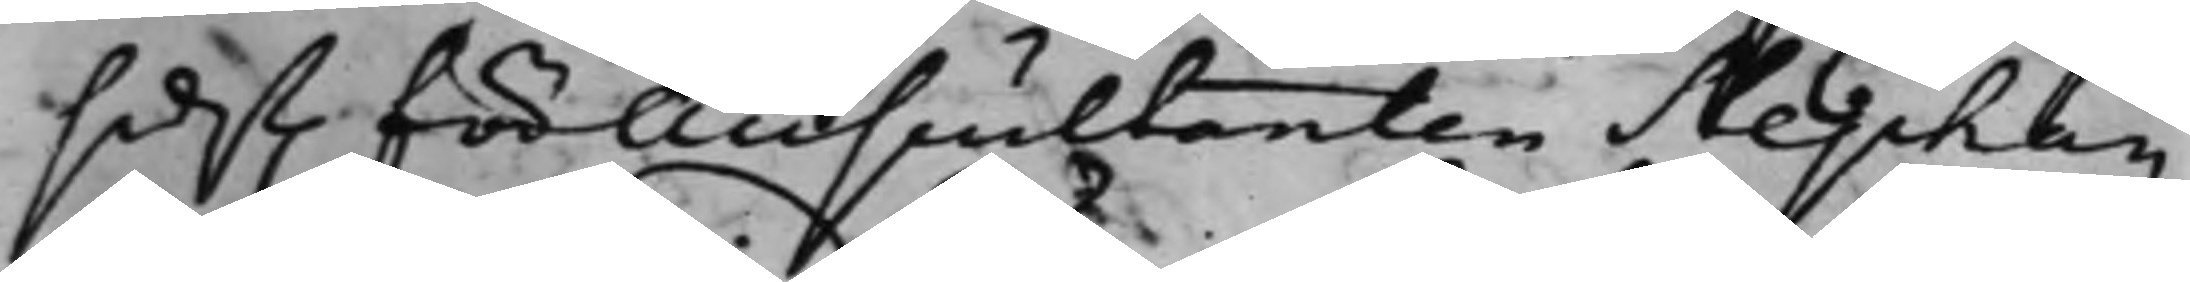sidst. för Auscultanten Stephan
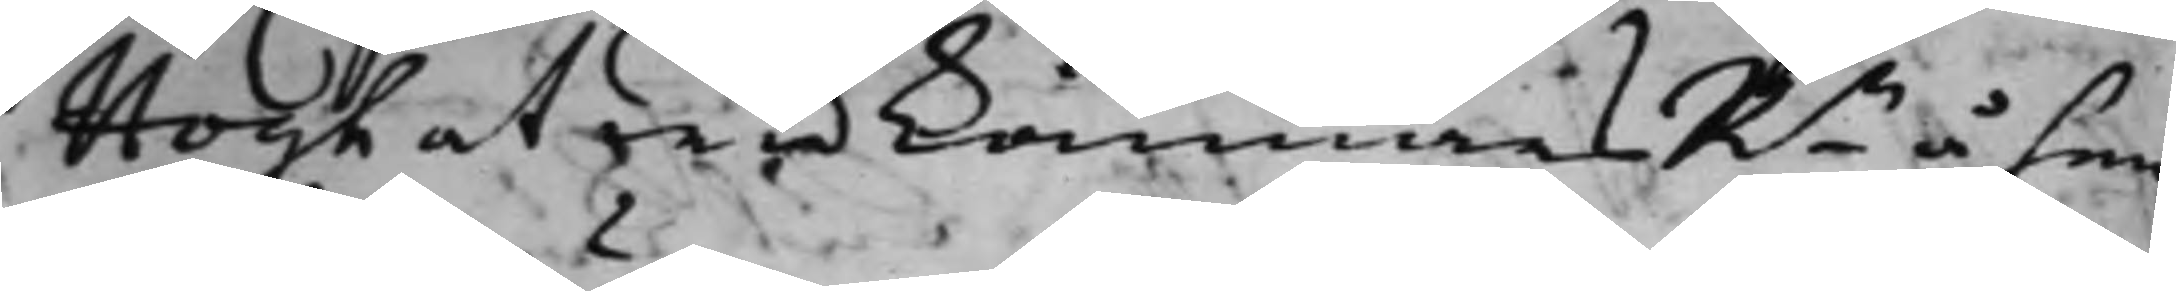Hogh at wid kämnärsRn å hen¬
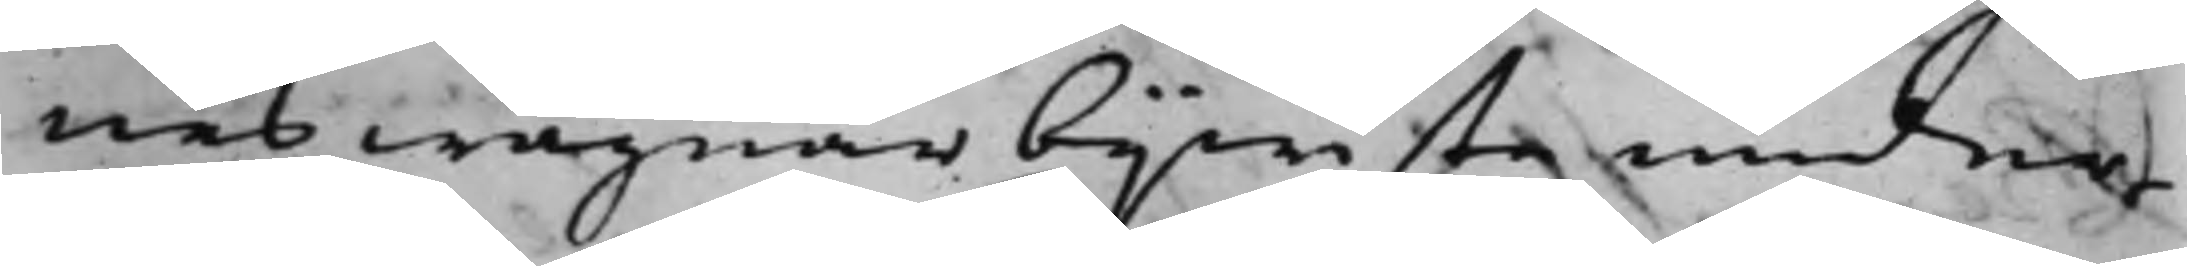nes wägnar bijwista under¬
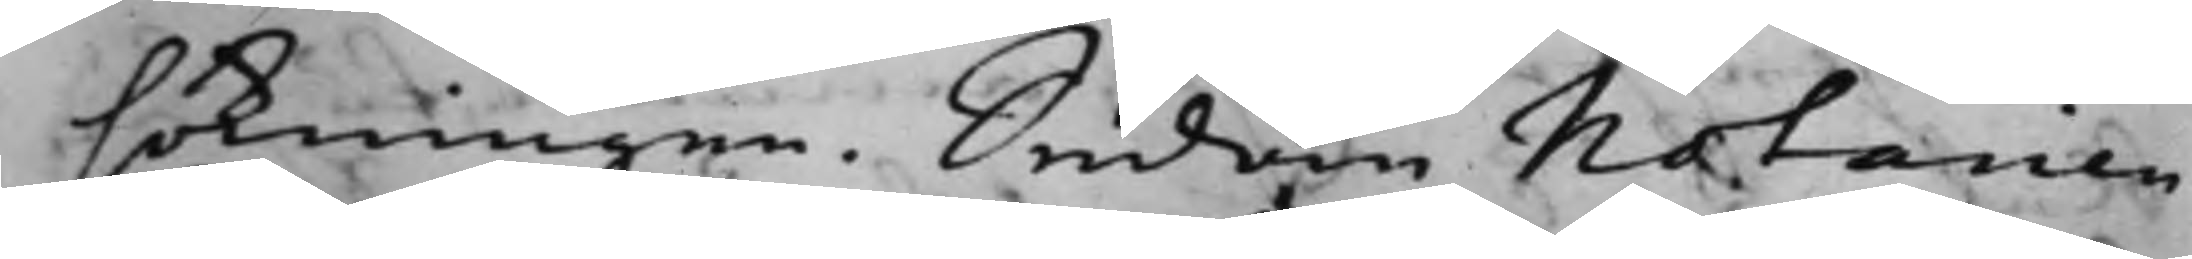sökningen. Sedan Notarien
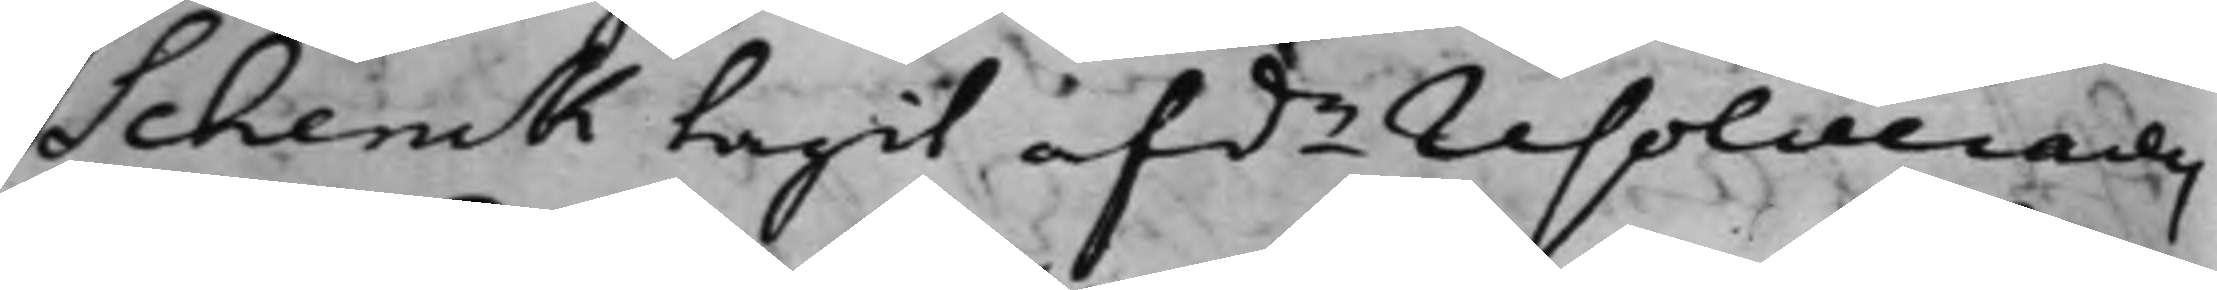Schenck tagit afde resolverades
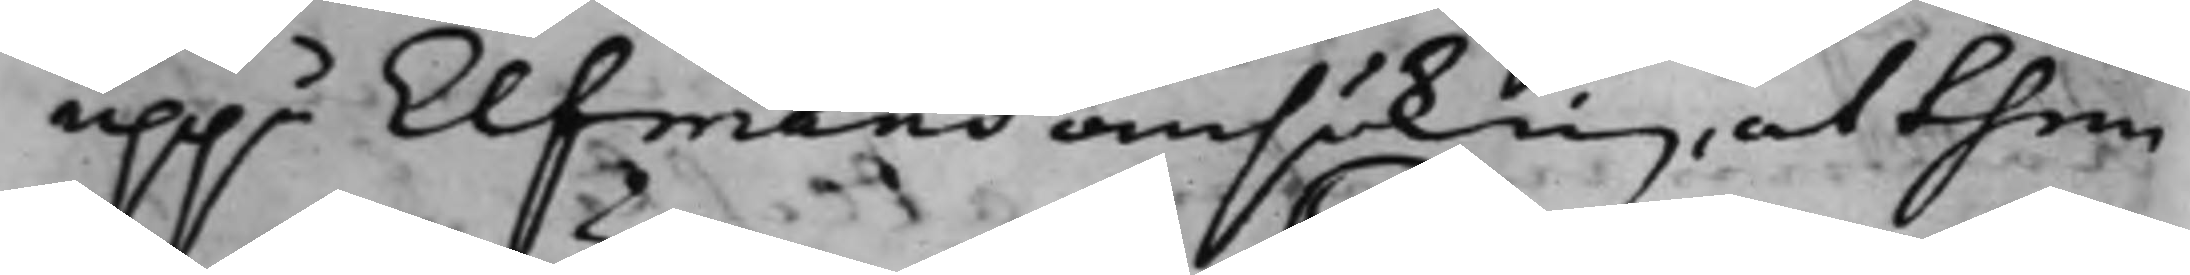uppå Elfmans ansöknig, at them
